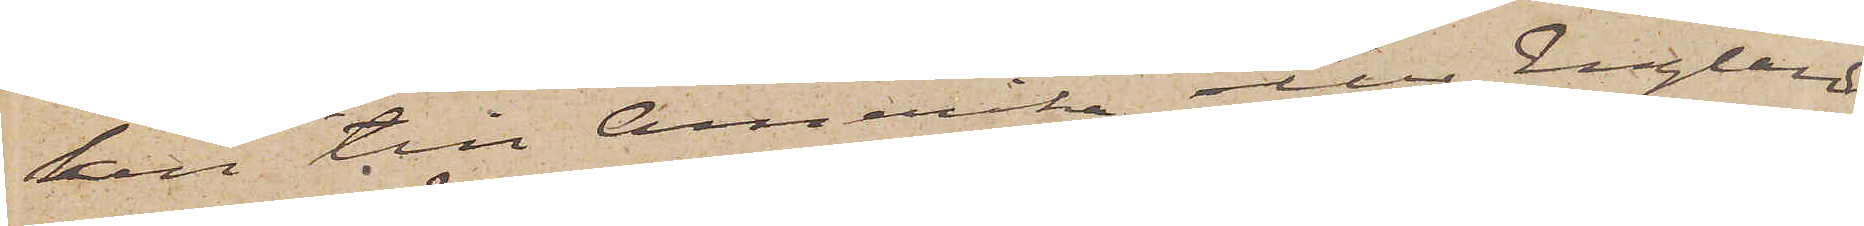ken till Amerika eller England
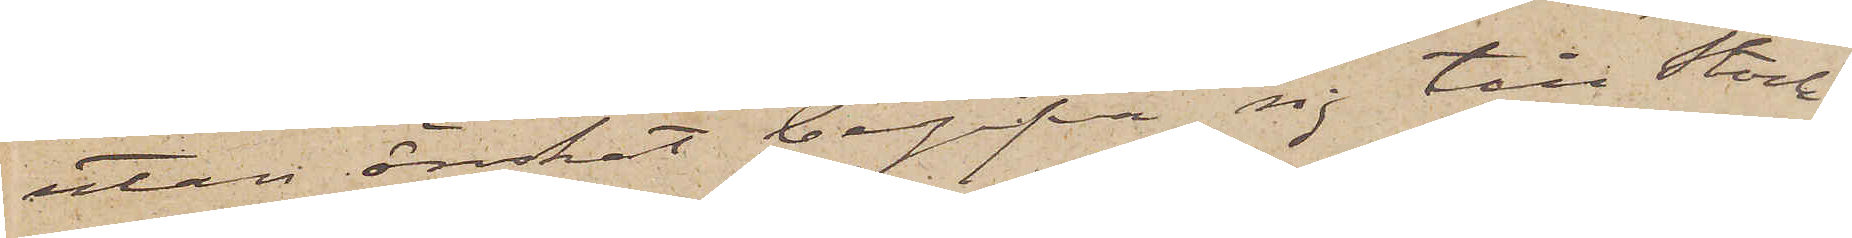utan önskat begifva sig till Stock¬
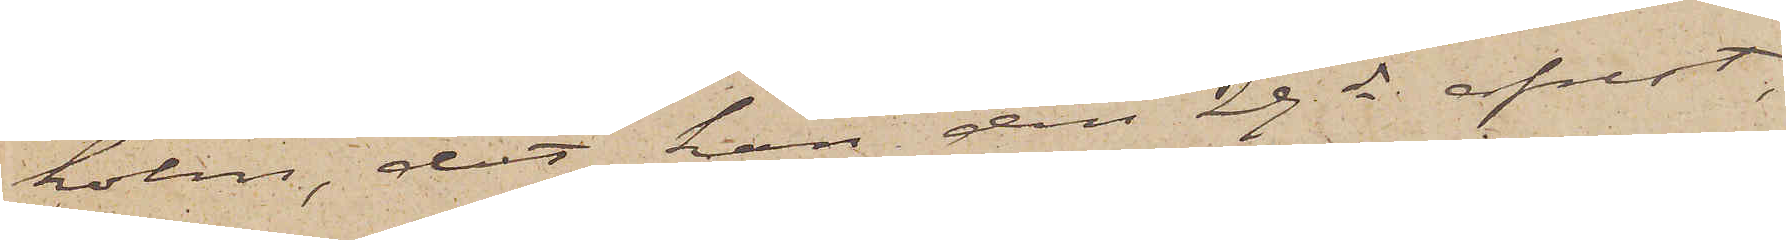holm, dit han den 29 ds afrest,
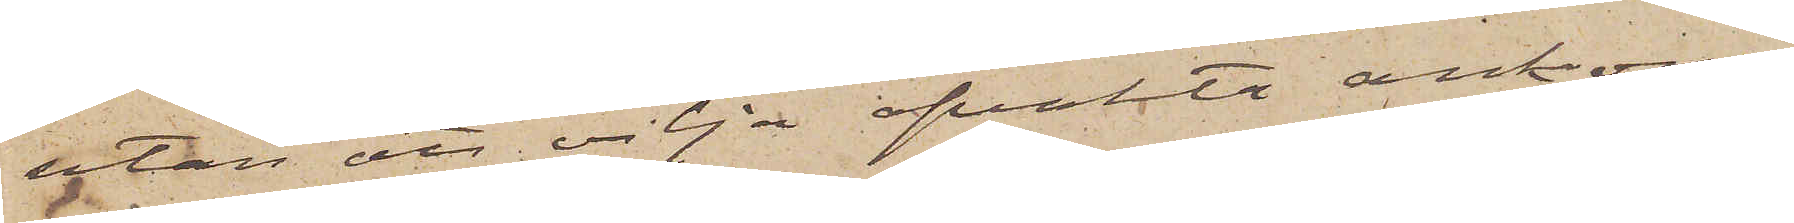utan att vilja afvakta ankom¬
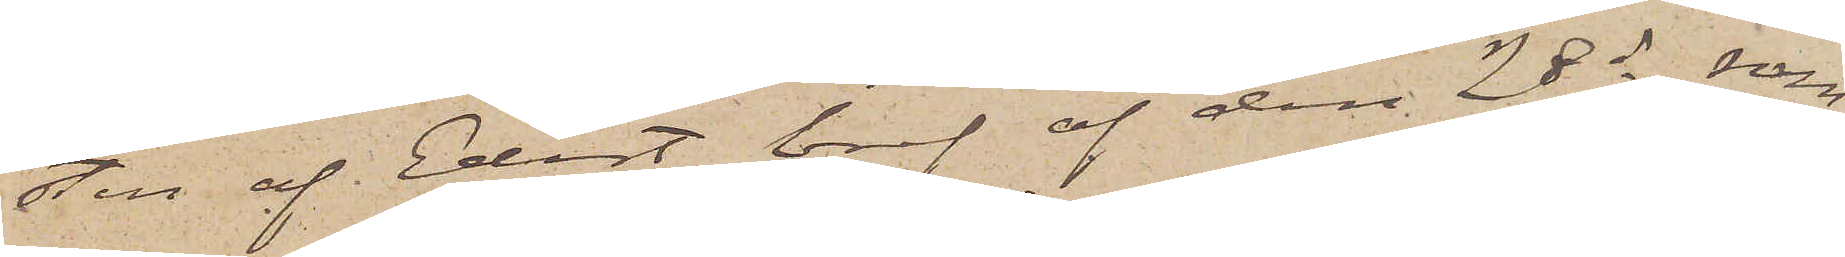sten af Edert bref af den 28 ds som
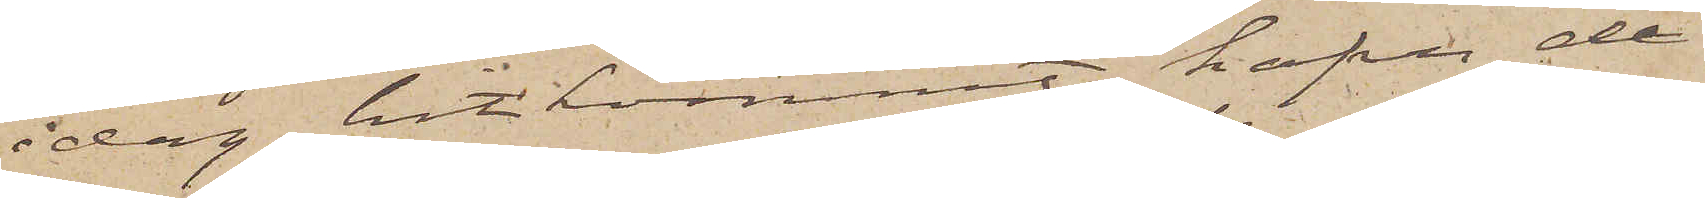idag hitkommit, hafva de
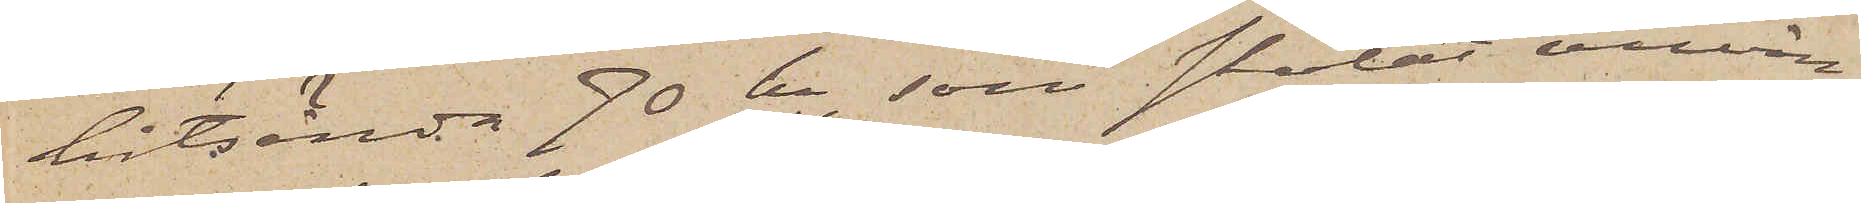hitsända 70 kr, som skolat använ¬
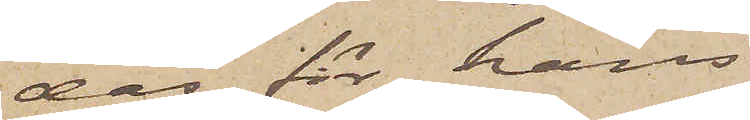das för hans
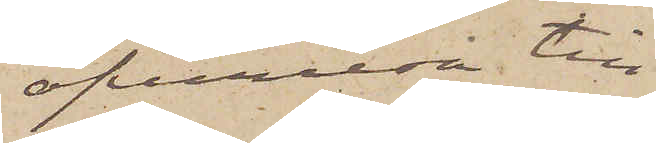öfverresa till
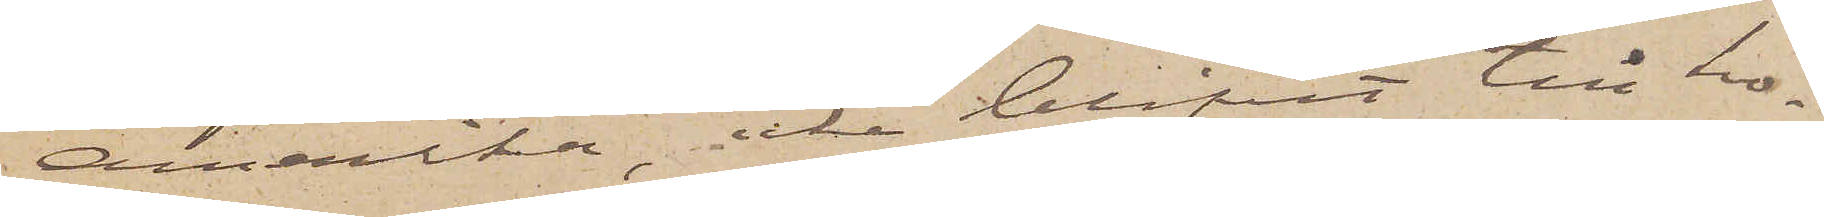Amerika, icke blifvit till ho¬
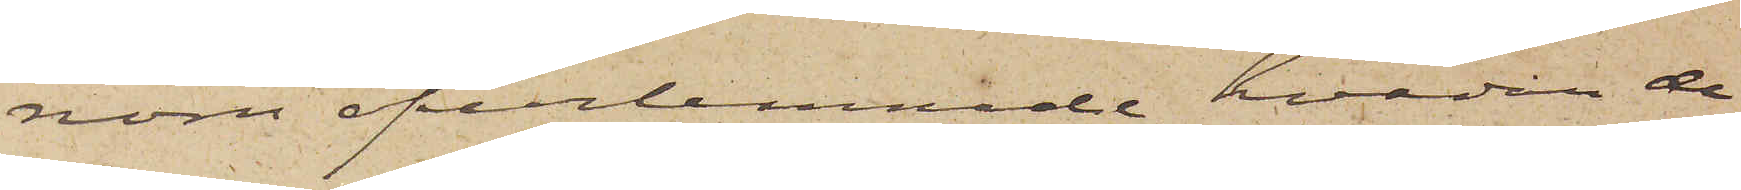nom öfverlemnade, hvadan de
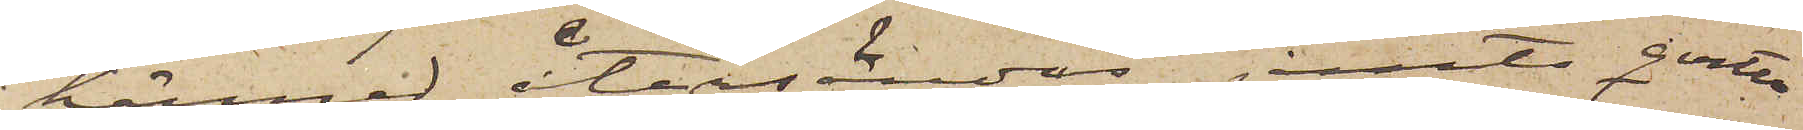härmed återsändas jemte qvitto
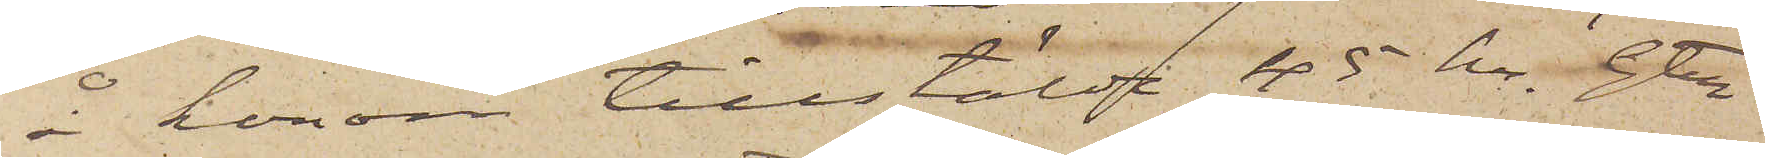å honom tillstälde 45 kr. Gtbg
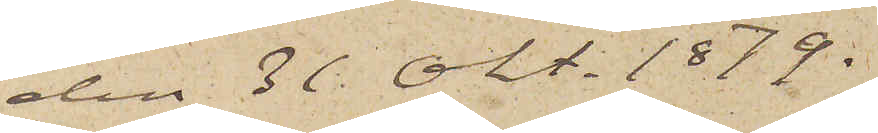den 31 Okt 1879.
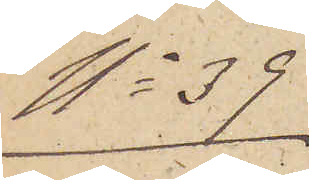No 39.
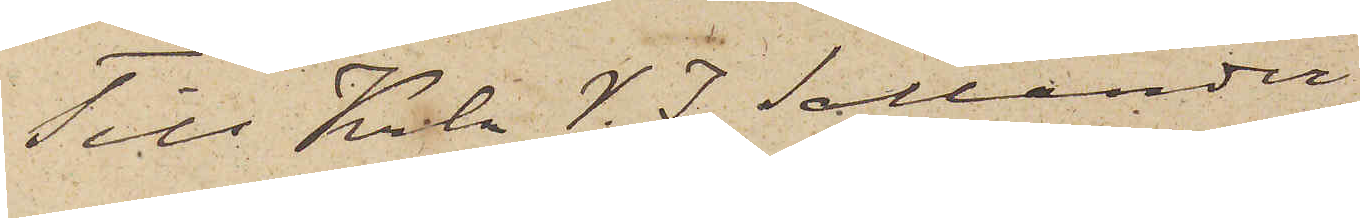Till Krln V. J. Sallander
